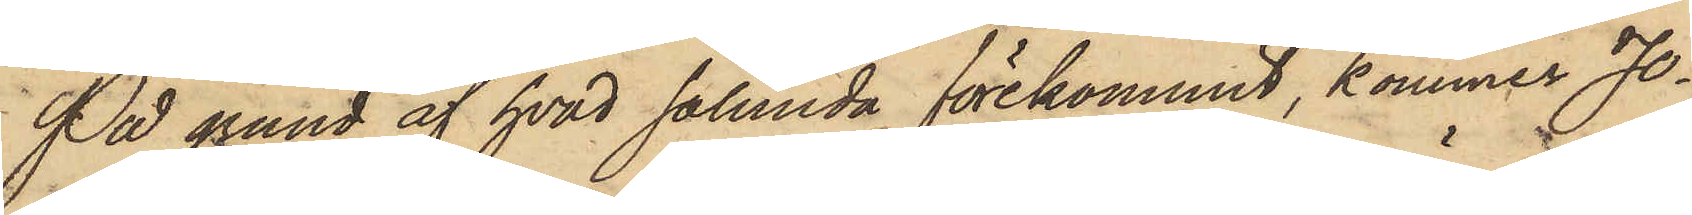På grund af hvad sålunda förekommit, kommer Jo¬
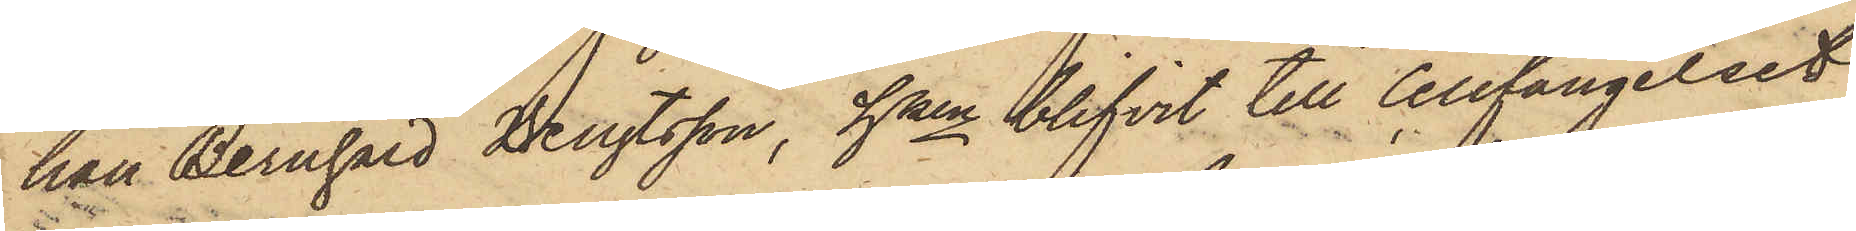han Bernhard Bengtsson, hken blifvit till Cellfängelset
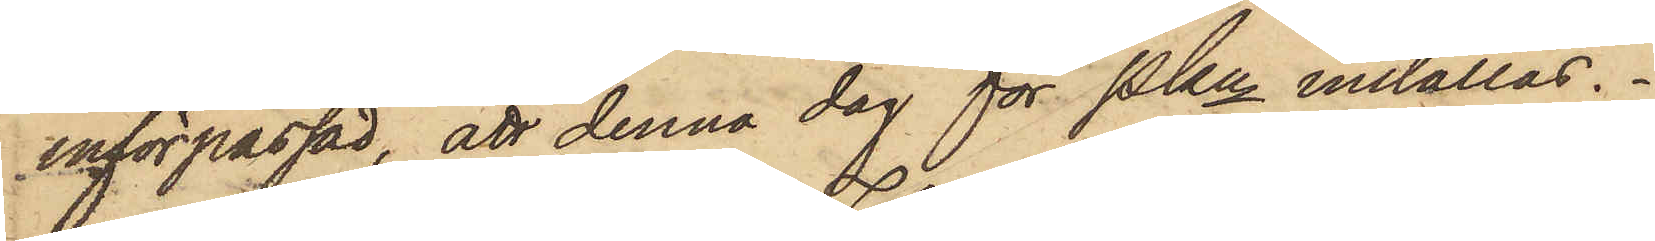införpassad, att denna dag för Pkn inställas.
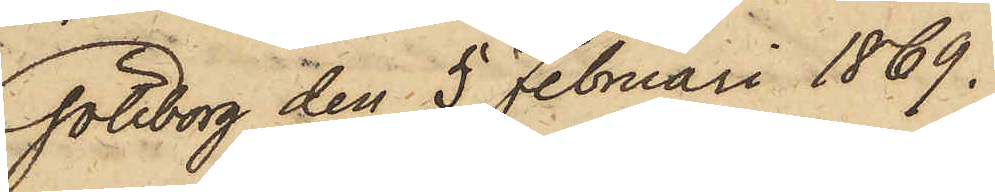Göteborg den 5 Februari 1869.
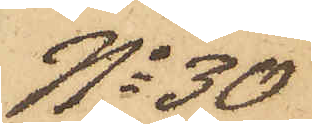No 30
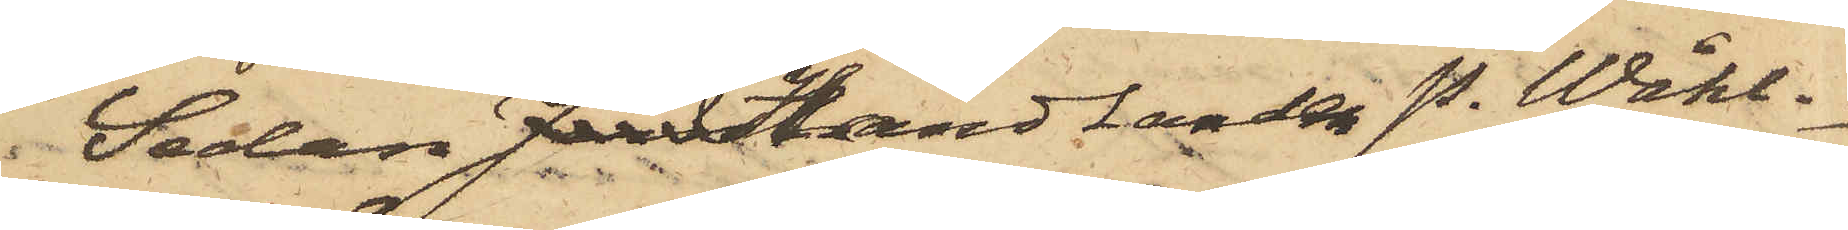Sedan JernHandlanden P. Wåhl¬
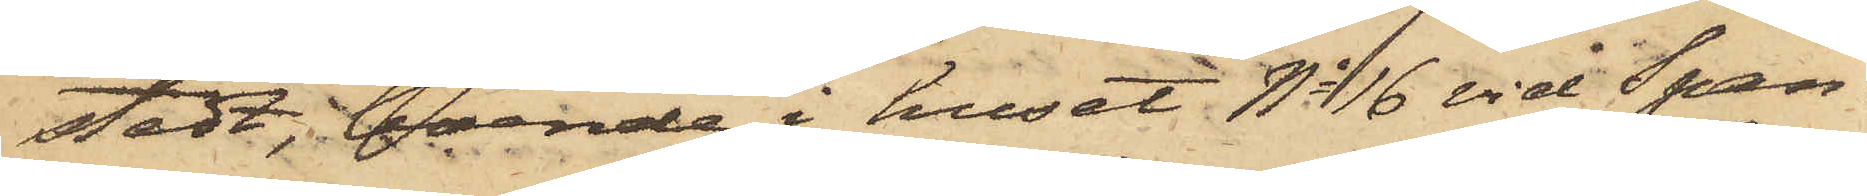stedt, boende i huset No 16 vid Span¬
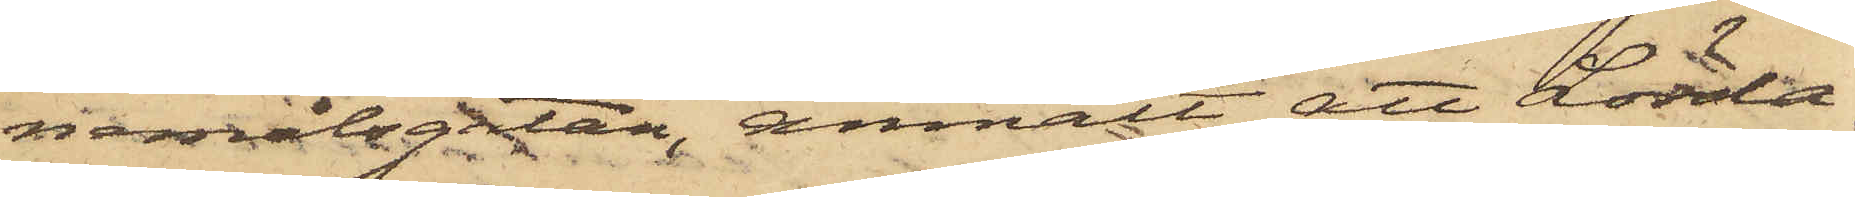nemålsgatan, anmält att Lörda¬
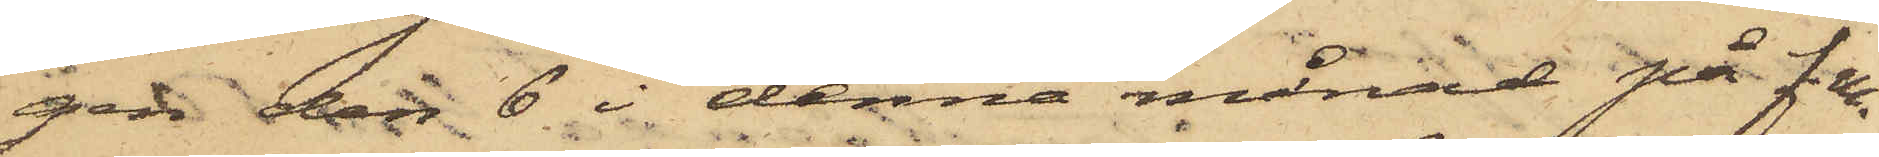gen den 6 i denna månad på f.m.
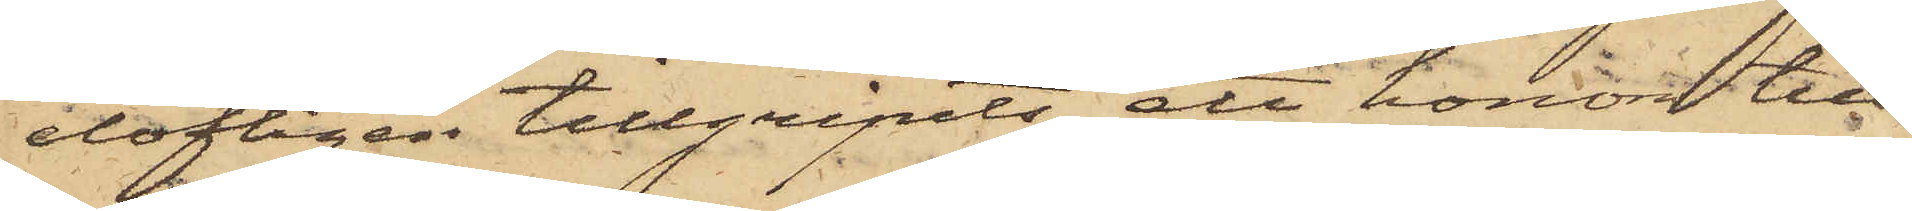olofligen tillgripits ett honom till¬
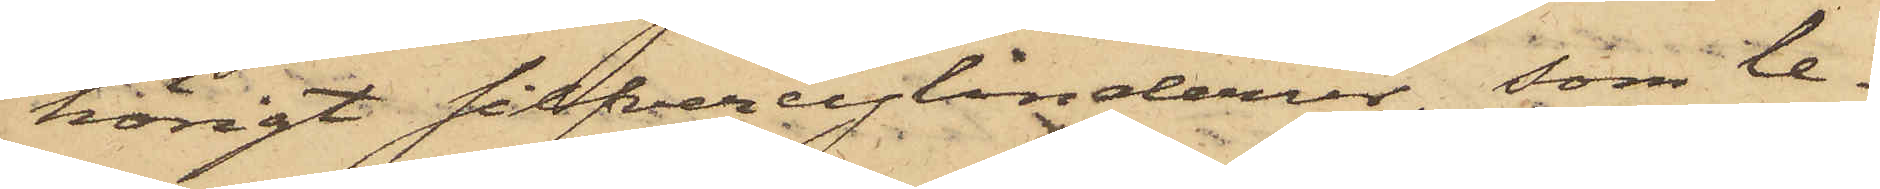hörigt silfvercylinderur, som le¬
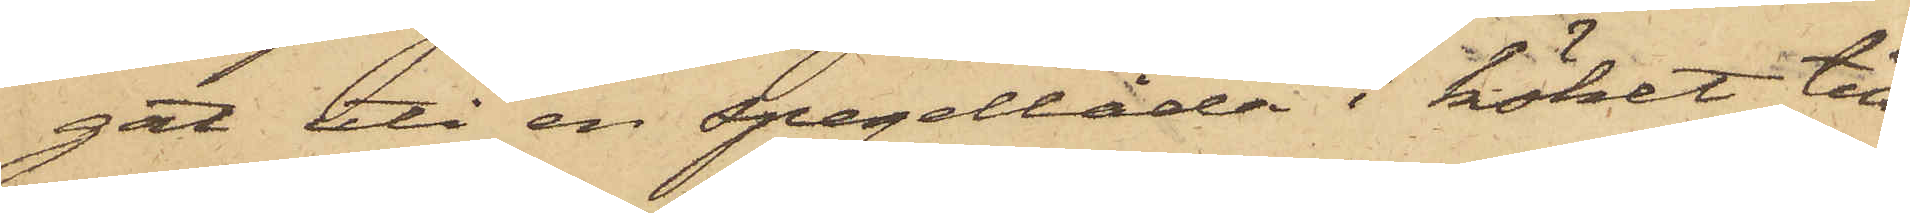gat uti en spegellåda i köket till
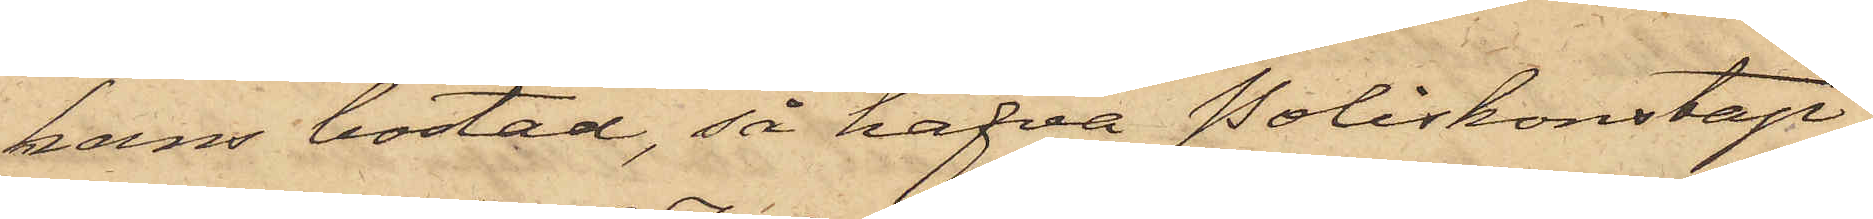hans bostad, så hafva Poliskonstap¬
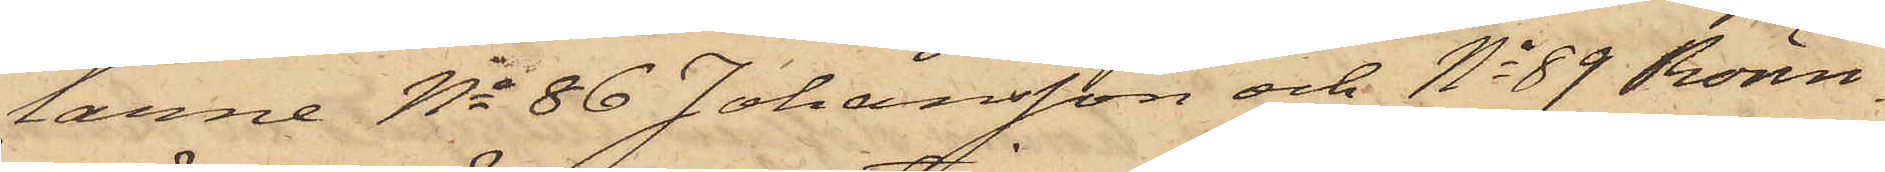larne No 86 Johansson och No 89 Rönn¬
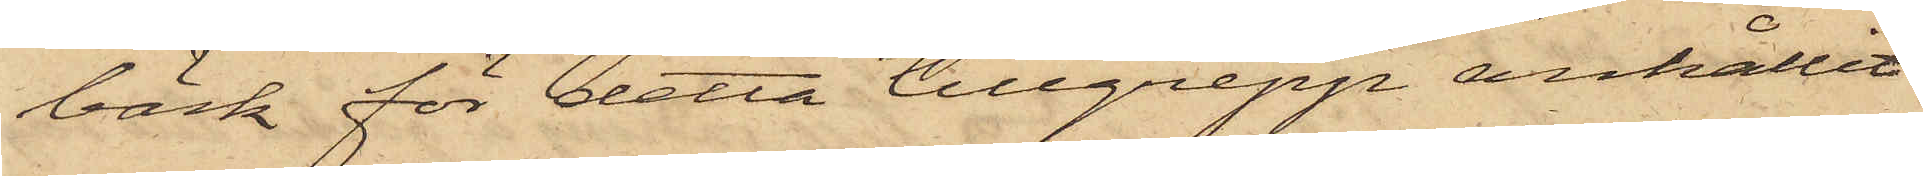bäck för detta tillgrepp anhållit
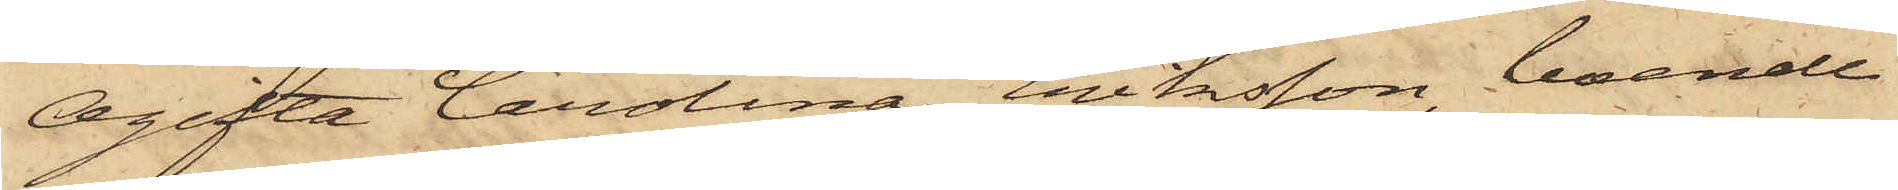Ogifta Carolina Eriksson, boende
